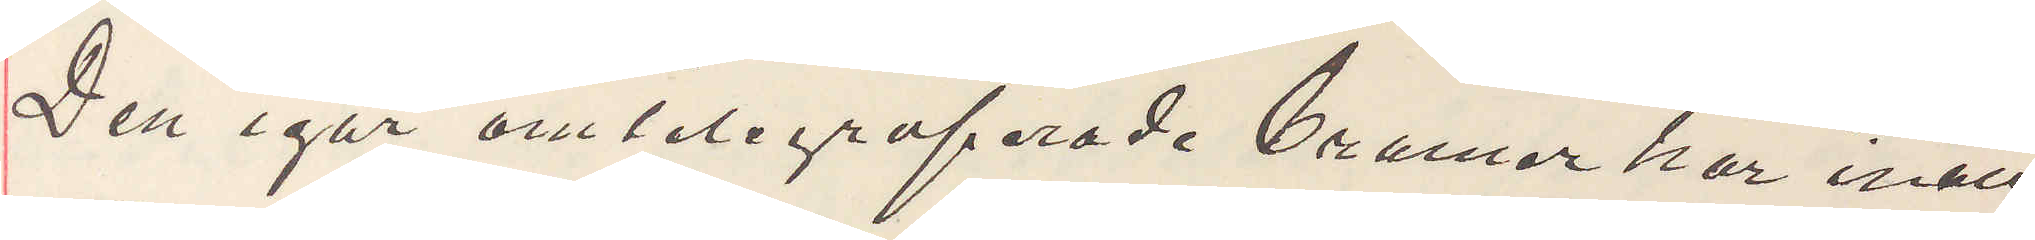Den igår omtelegraferade Cramer har inatt
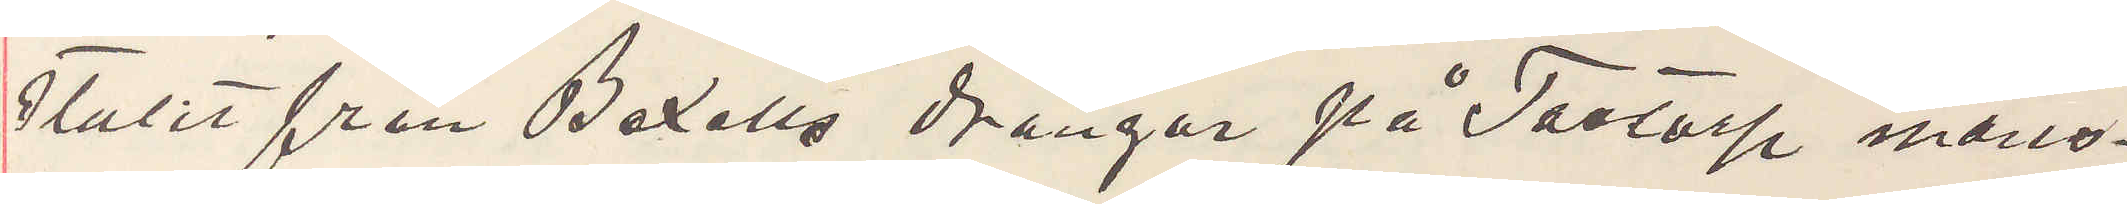stulit från Bexells drangar på Träslöf mans¬
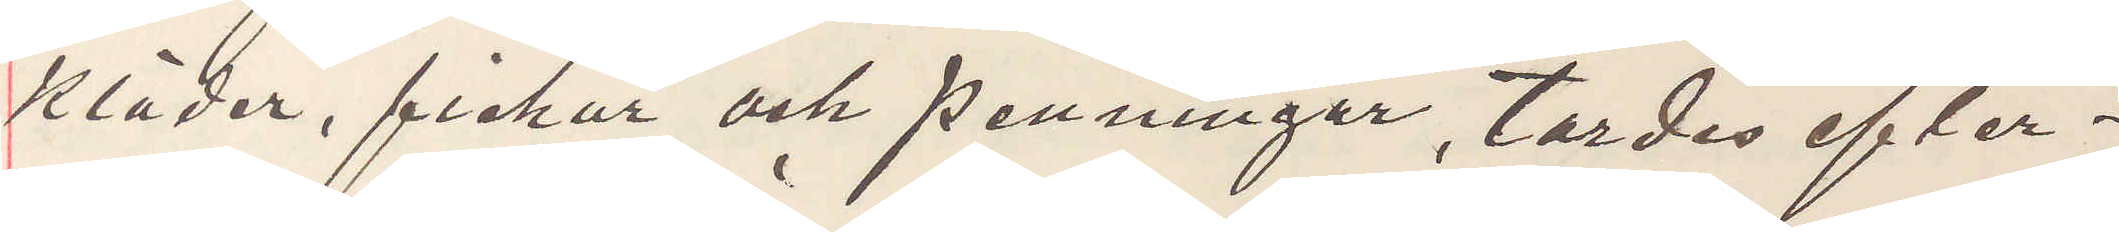kläder, fickur och penningar, tordes efter¬
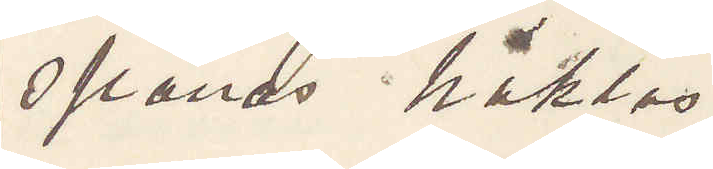spanas häktas.
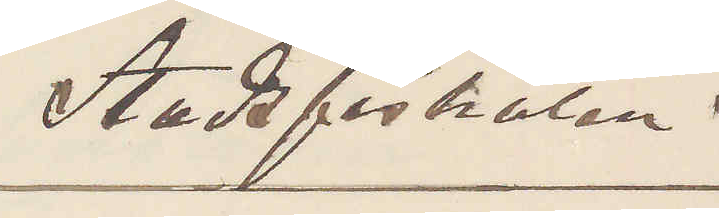Stadsfiskalen.
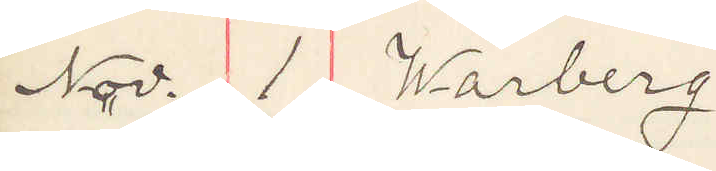Nov. 1 Warberg
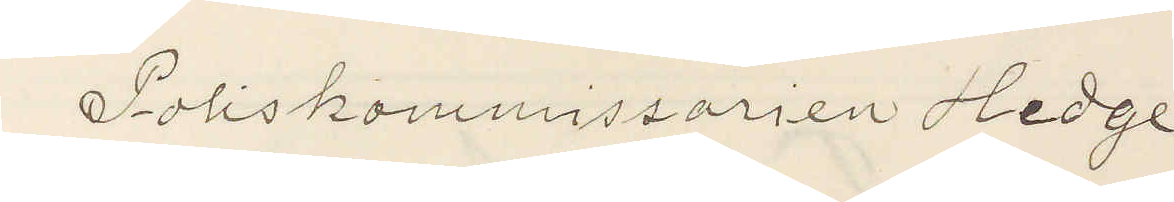Poliskommissarien Hedge
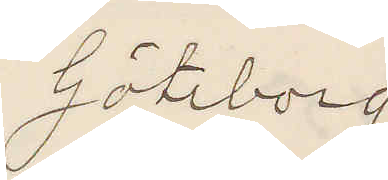Göteborg
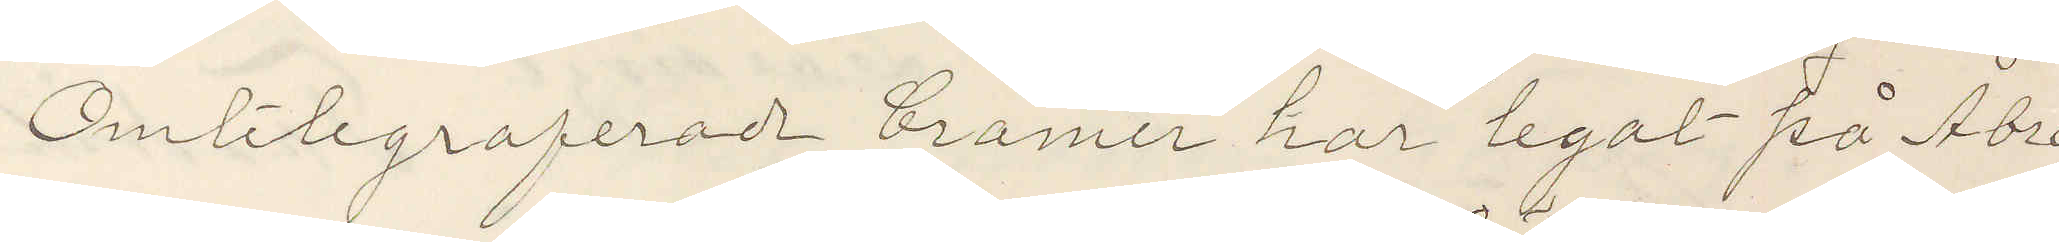Omtelegraferade Cramer har legat på Åbro
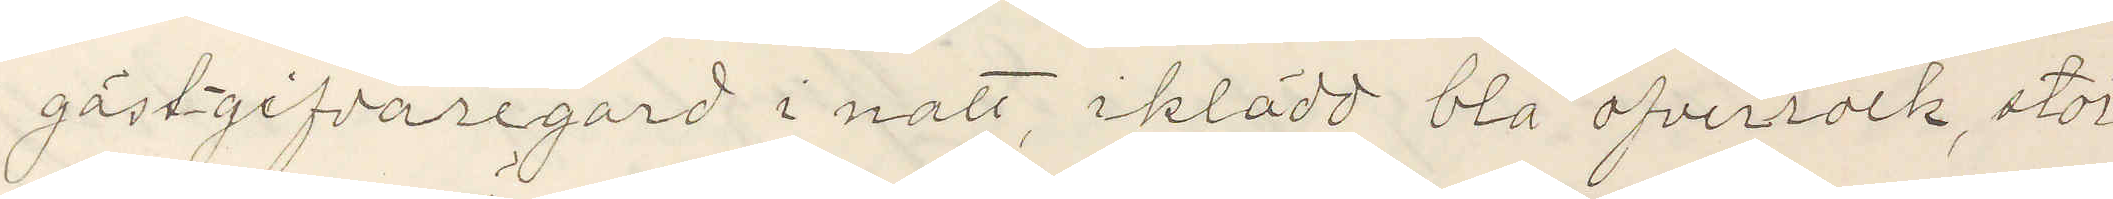gästgifvaregard i natt, iklädd blå öfverrock, stor¬
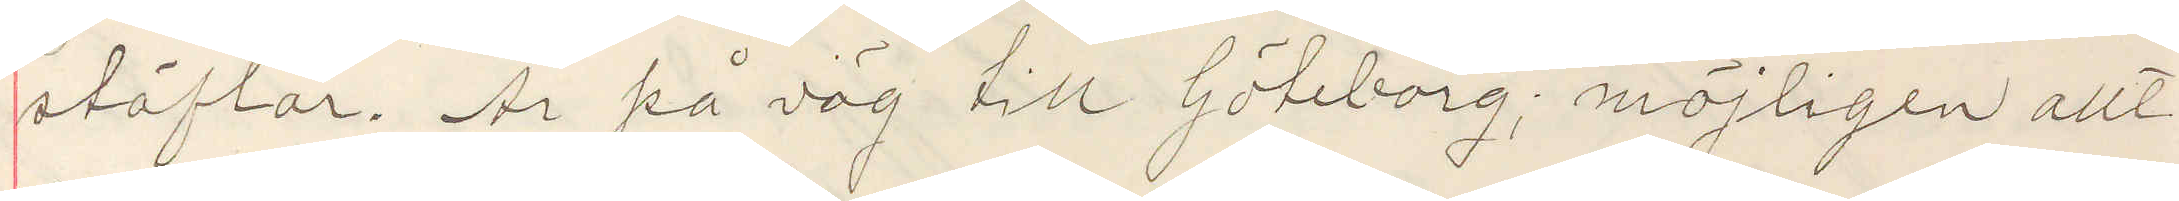stöflar. Är på väg till Göteborg; möjligen allt
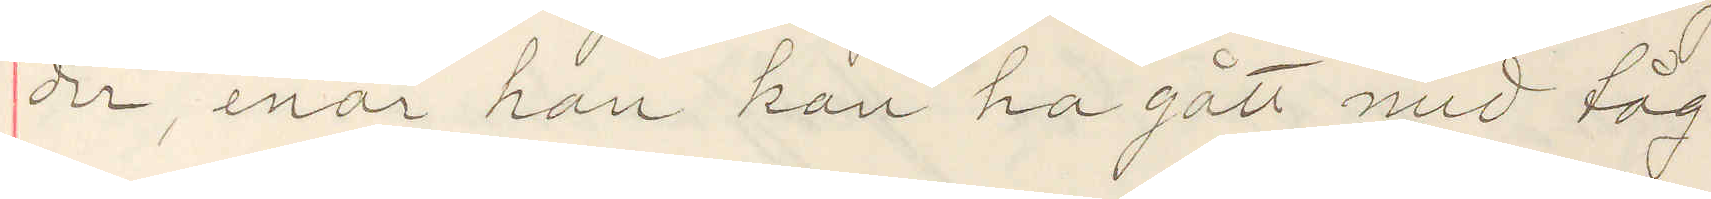der, enär han kan ha gått med tåg.
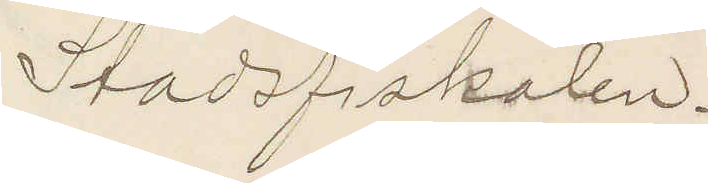Stadsfiskalen.
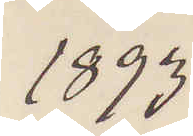1893
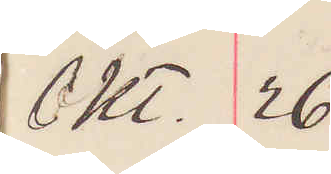Okt. 26
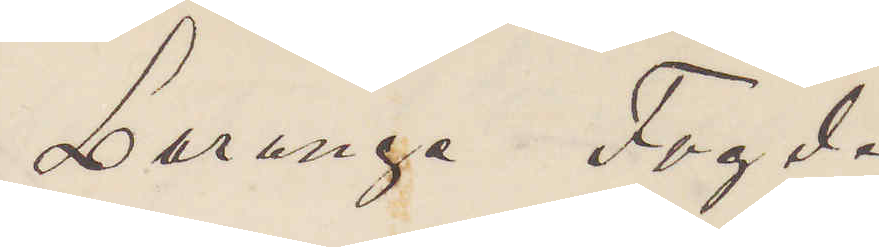Larunge Fogde
